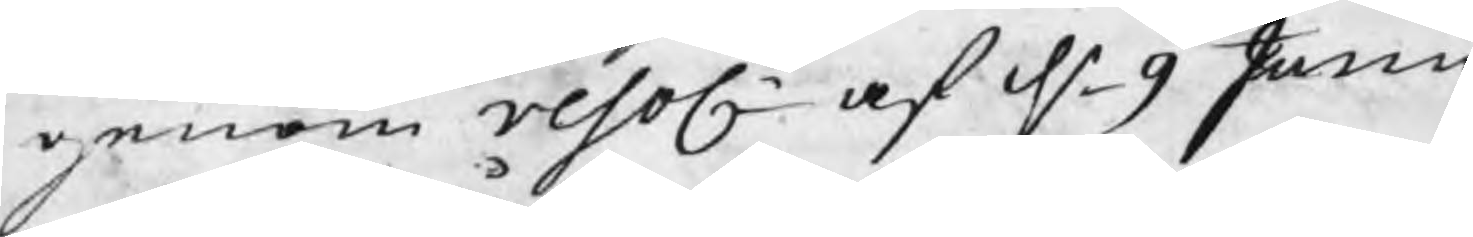genom resol af d 9 Junii
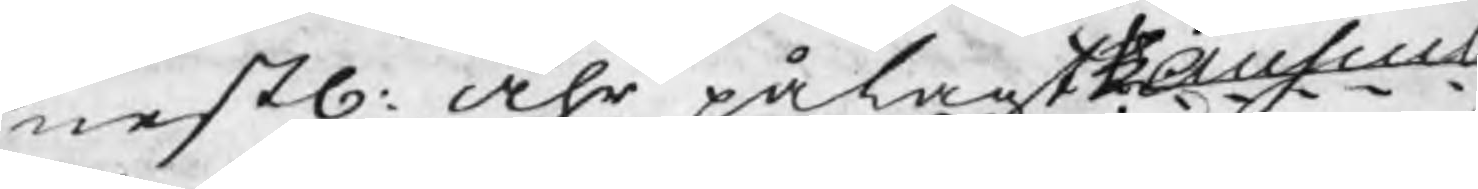nestl: åhr pålagt Auscul
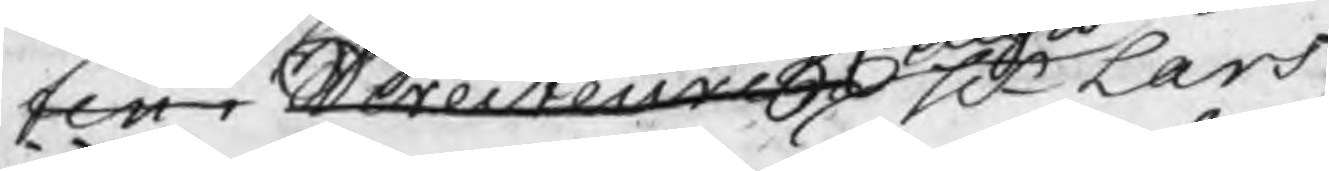ten i Directeuren Hr Lars
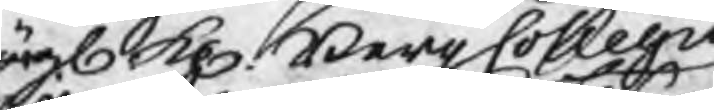Högl. K. BergCollegio
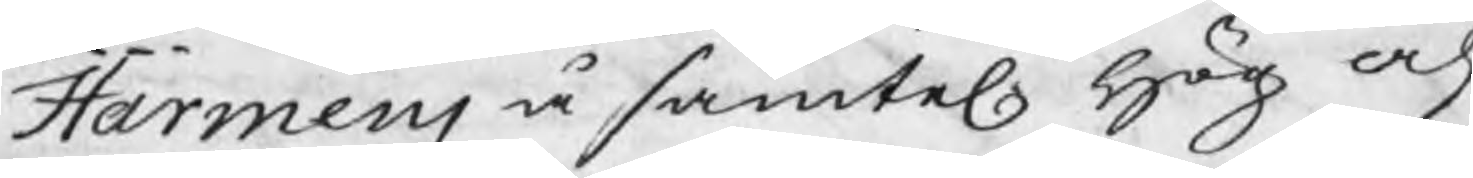Harmens å samtel. Hög och 
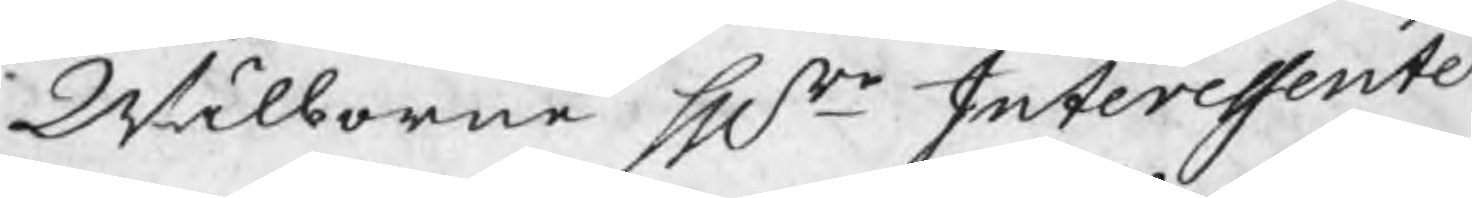Wälborne Hrr Interessente
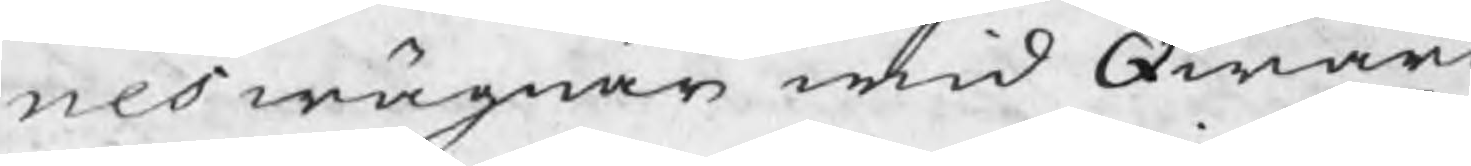nes wägnar wid Qwarn
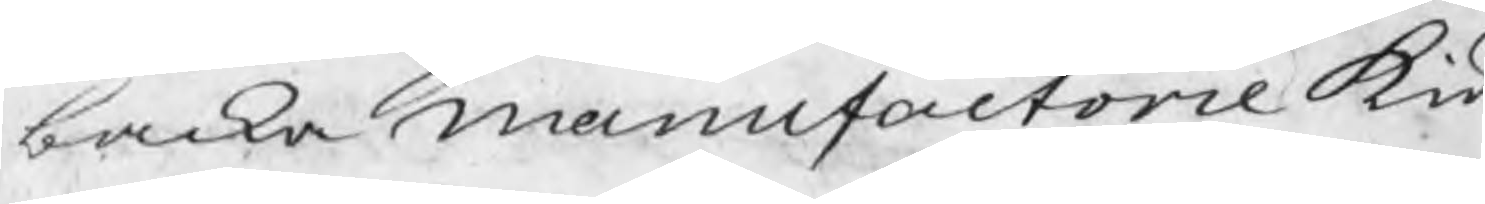backa manufactorie kiä¬
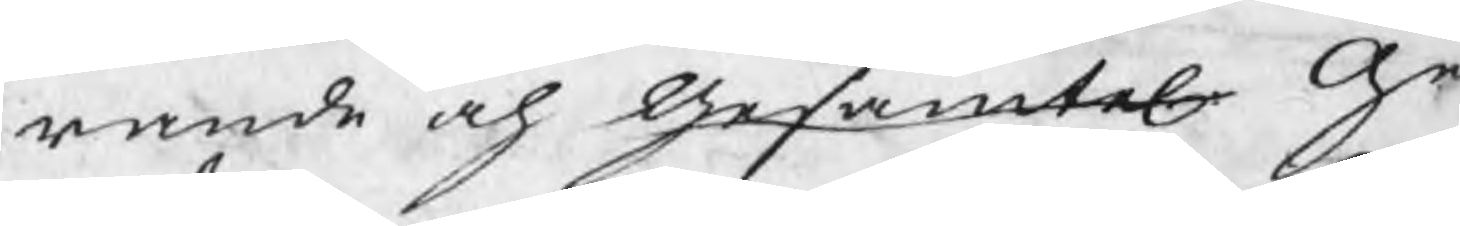rande och Gesamtel.  Ge¬
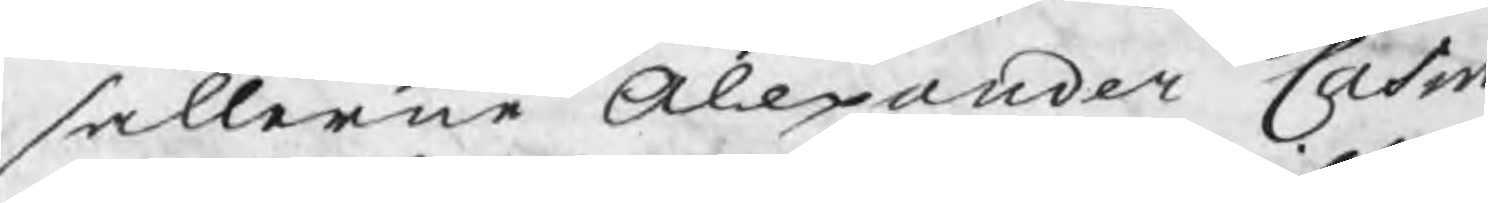sällerne Alexander Casm
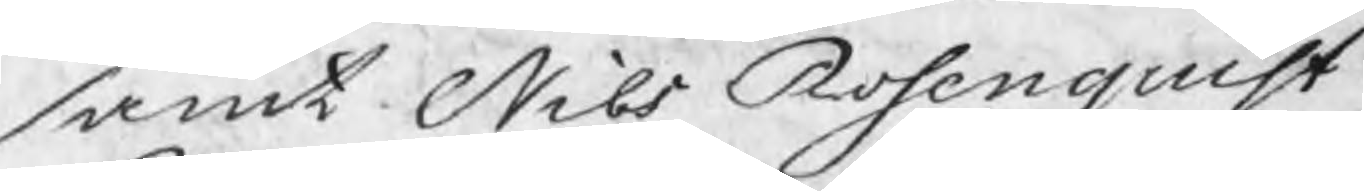samt Nils Rosenquist
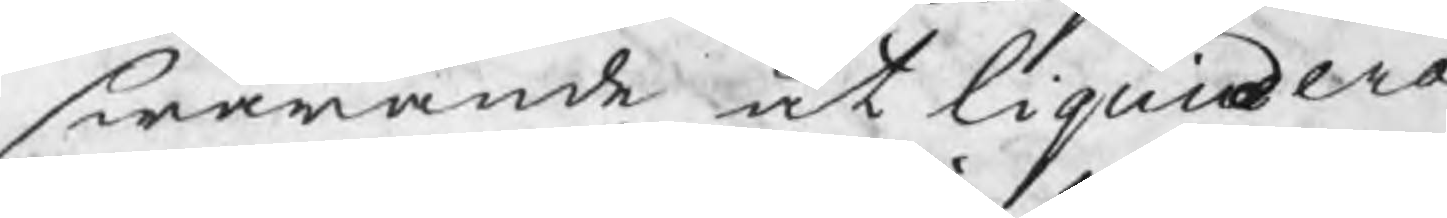swarande at liquidera
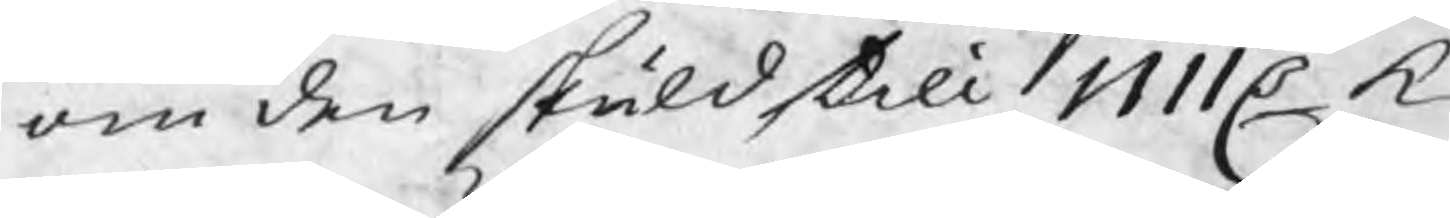om den skuld till 1111 C k
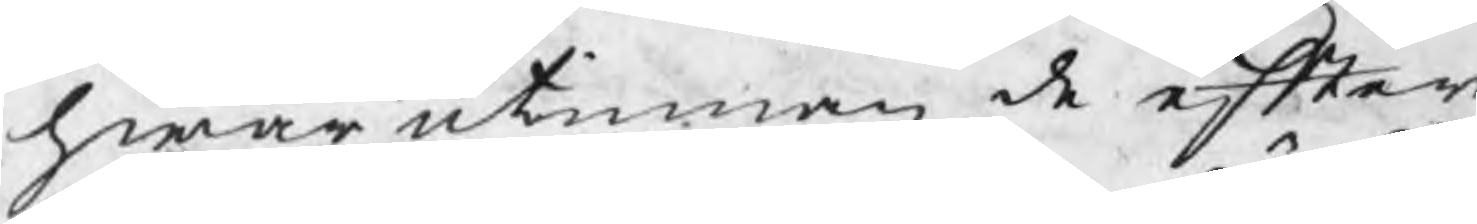hwarutinnan de efter
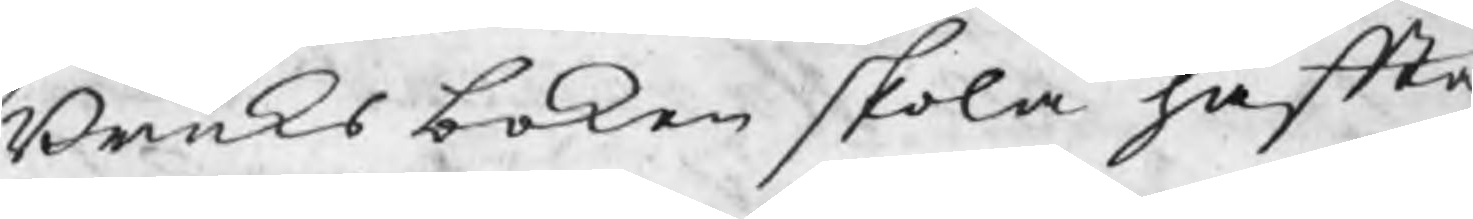Bruksboken skola häffta
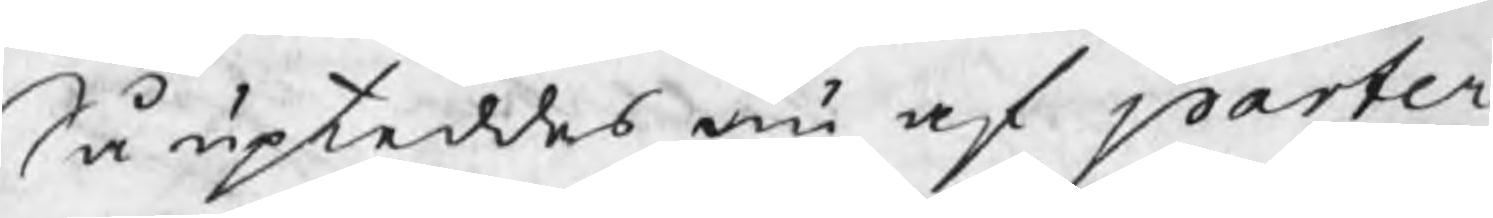Så upteddes nu af parter¬
